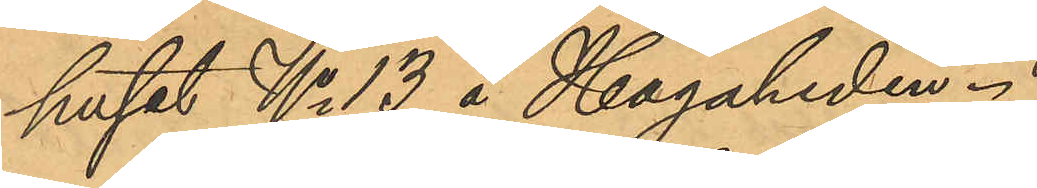huset No 13 å Hagaheden
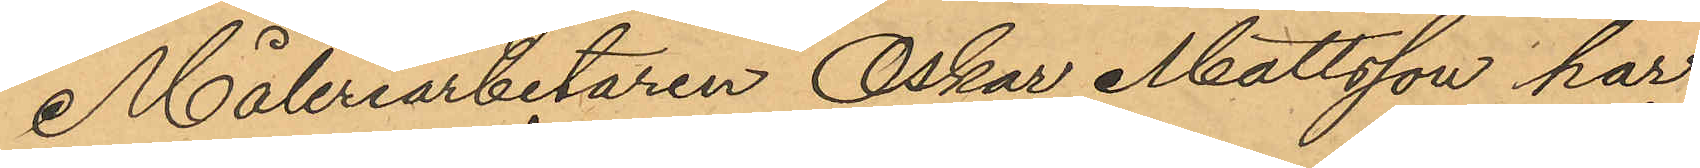Måleriarbetaren Oskar Mattsson har
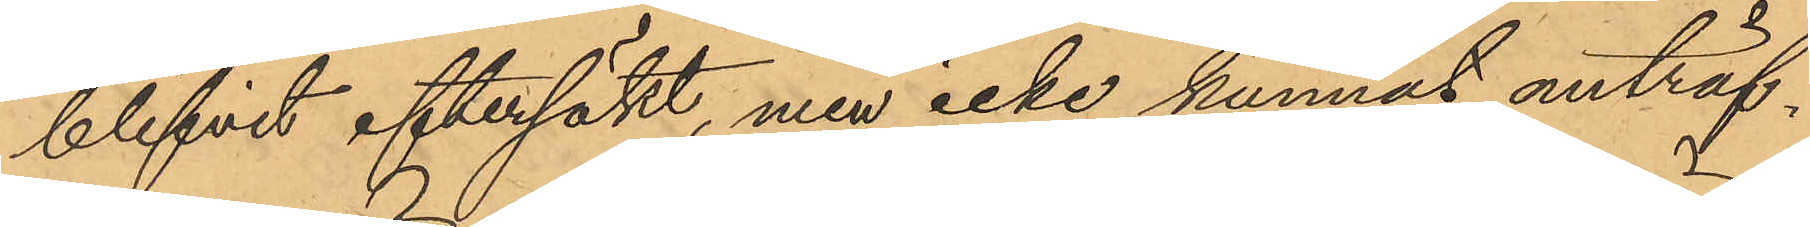blifvit eftersökt, men icke kunnat anträf¬
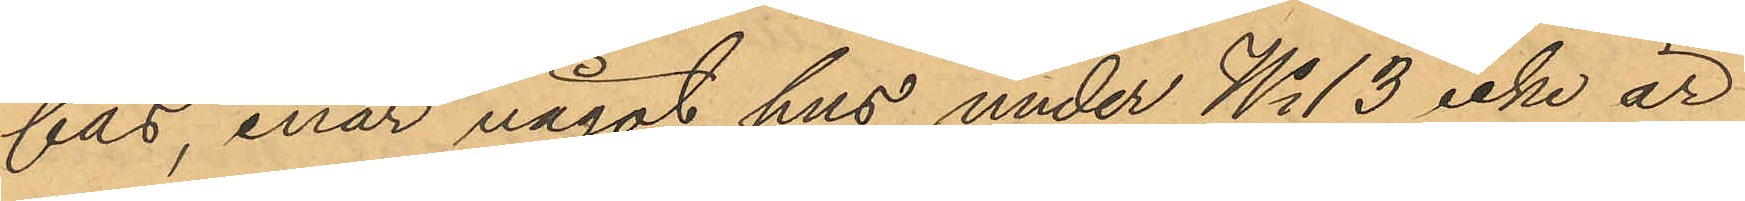fas, enär något hus under No 13 icke är
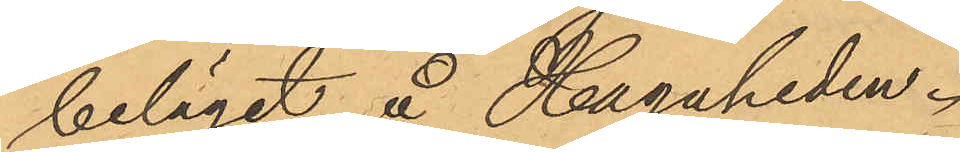beläget å Hagaheden.
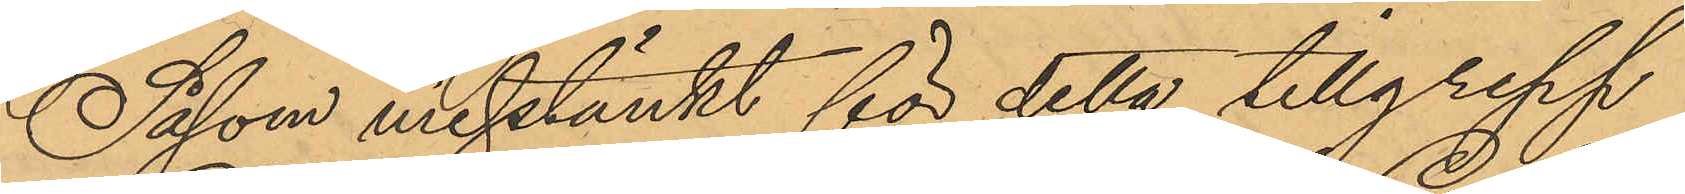Såsom mistänkt för detta tillgrepp
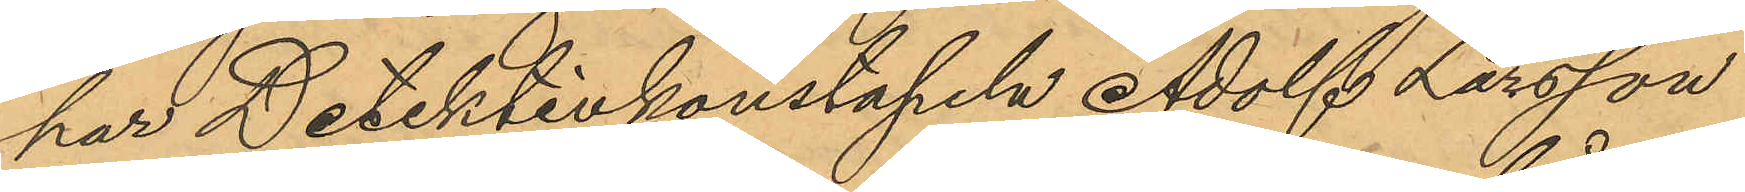har Detektivkonstapeln Adolf Larsson
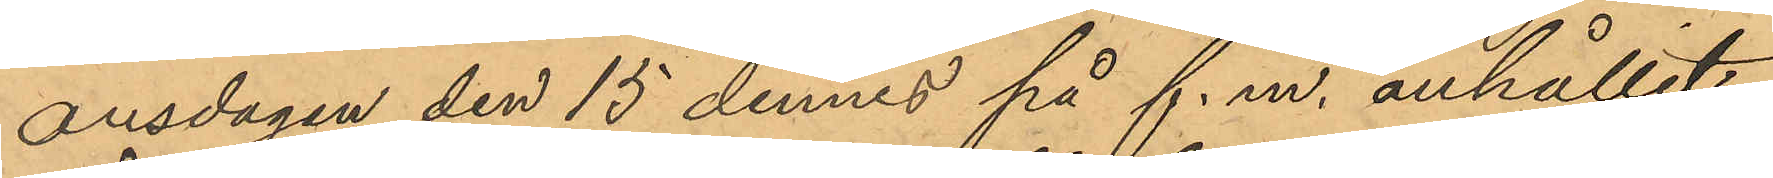onsdagen den 15 dennes på f.m. anhållit
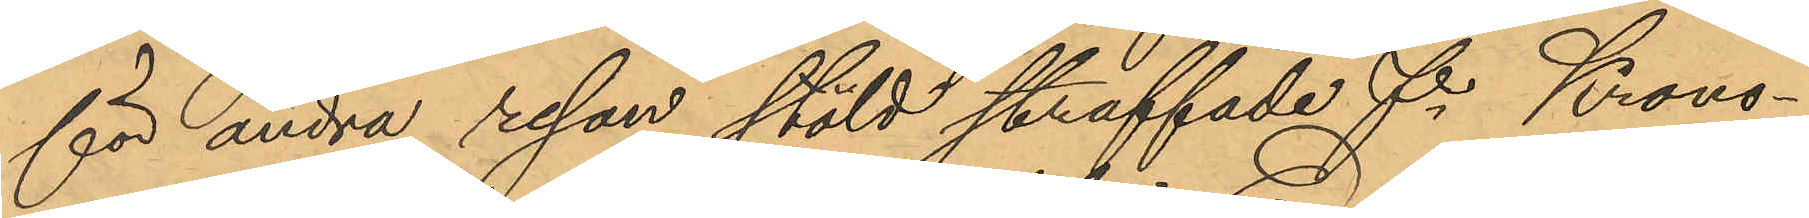för andra resan stöld straffade f. Krono¬
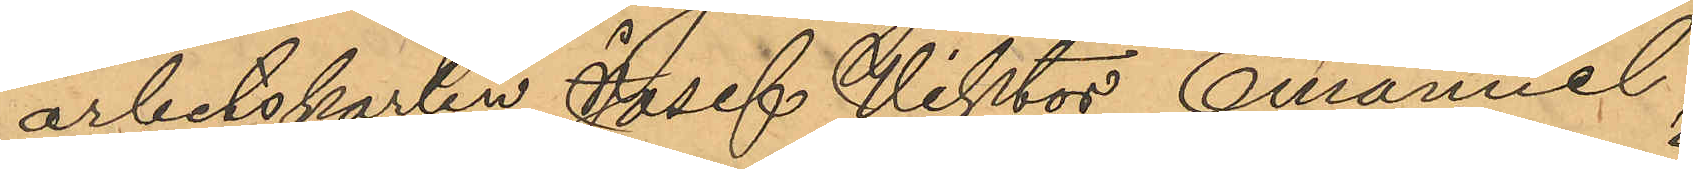arbetskarlen Josef Viktor Emanuel
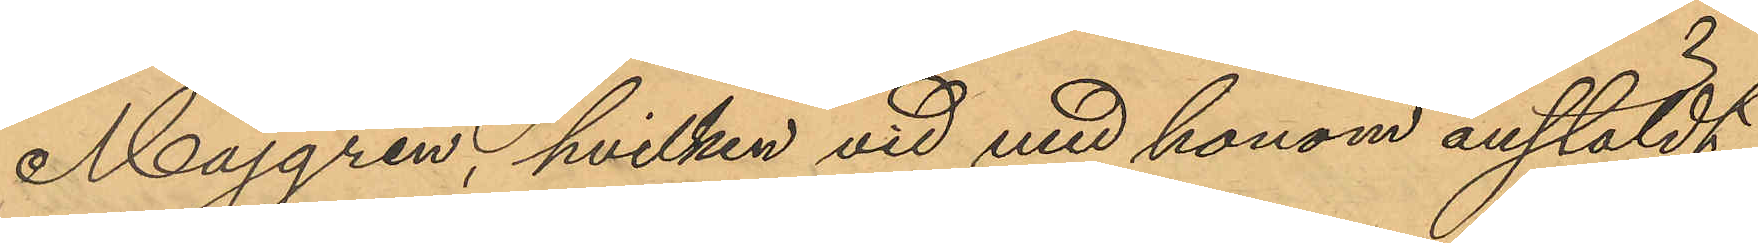Majgren, hvilken vid med honom anstäldt
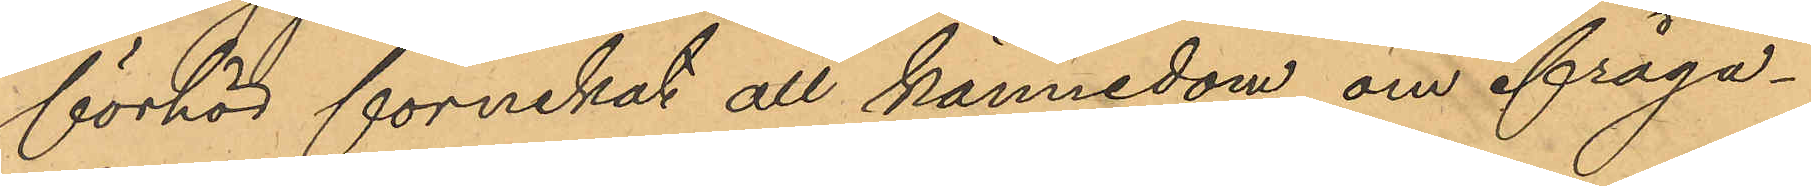förhör förnekat all kännedom om ifråga¬
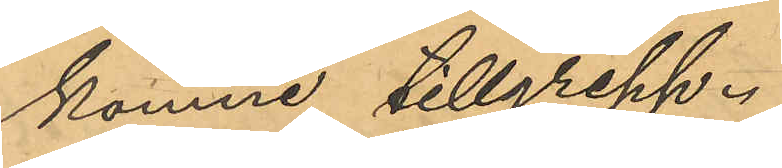komne tillgrepp.
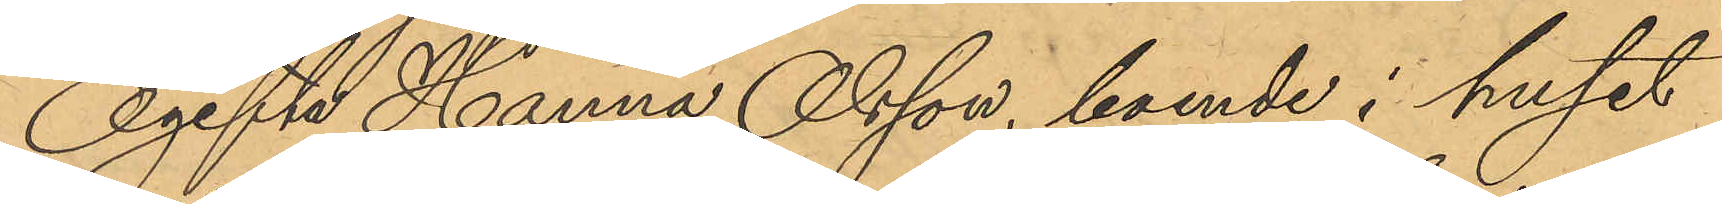Ogifte Hanna Olsson, boende i huset
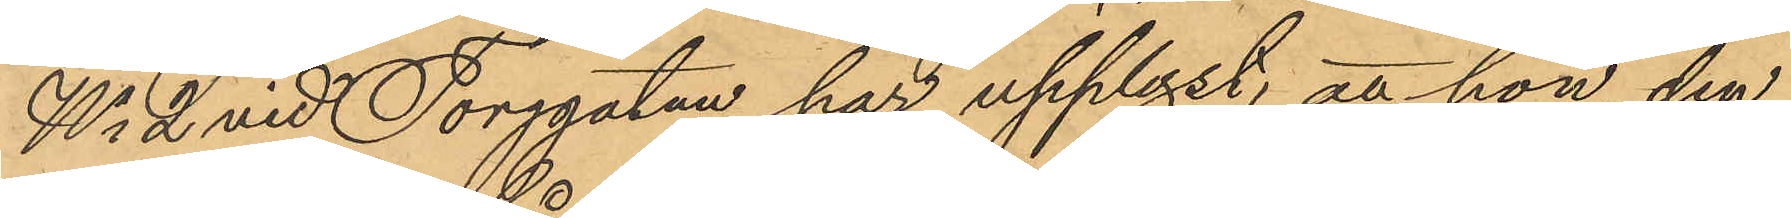No 2 vid Torggatan har upplyst, att hon den
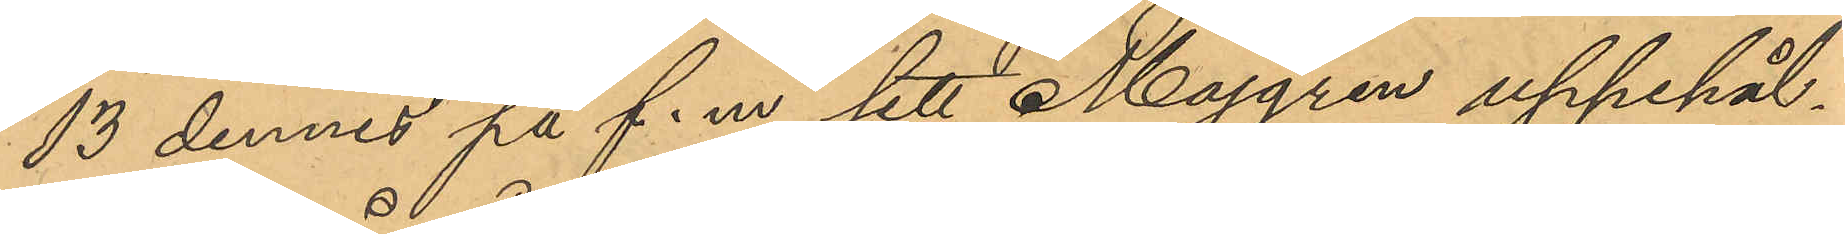13 dennes på f.m. sett Majgren uppehål¬
